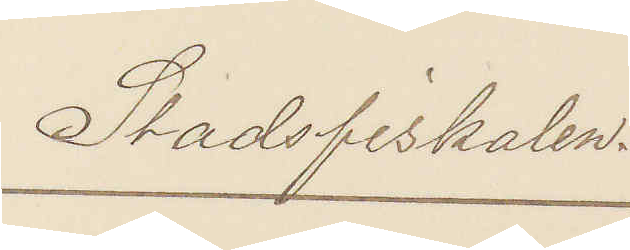Stadsfiskalen.
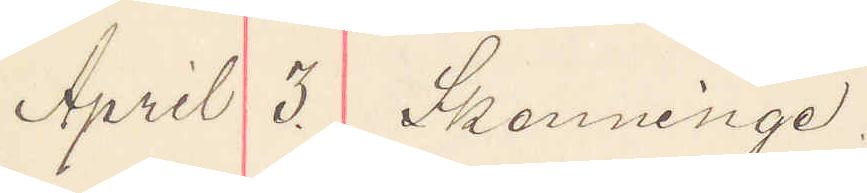April 3. Skenninge.
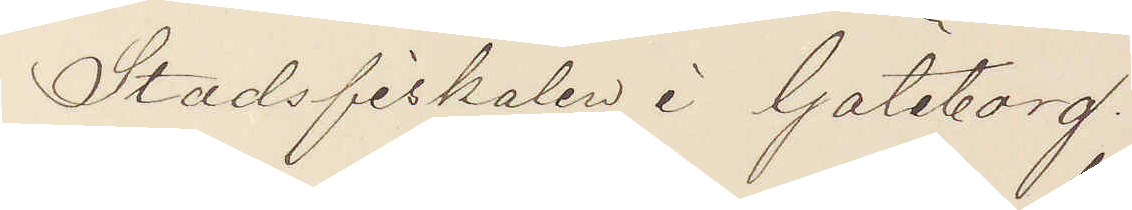Stadsfiskalen i Göteborg.
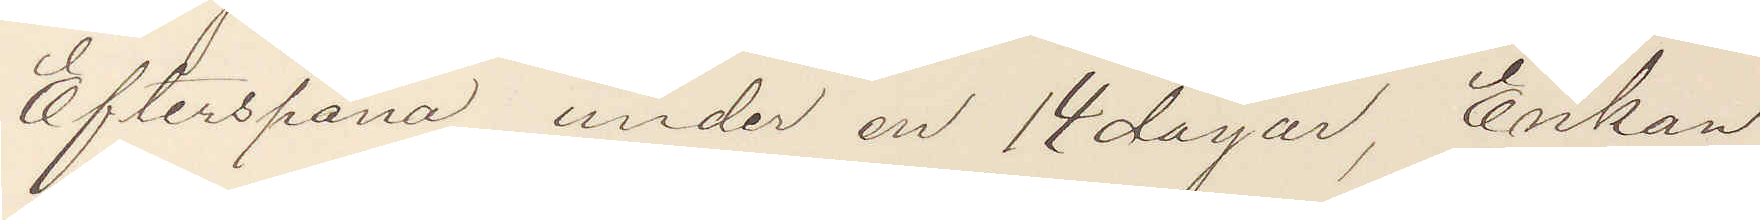Efterspana under en 14 dagar, Enkan
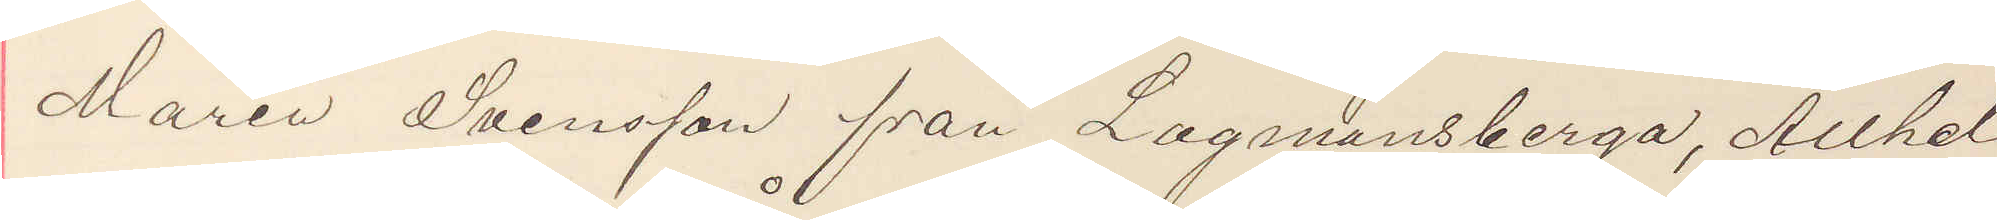Maria Svensson från Lagmansberga, Allhel¬
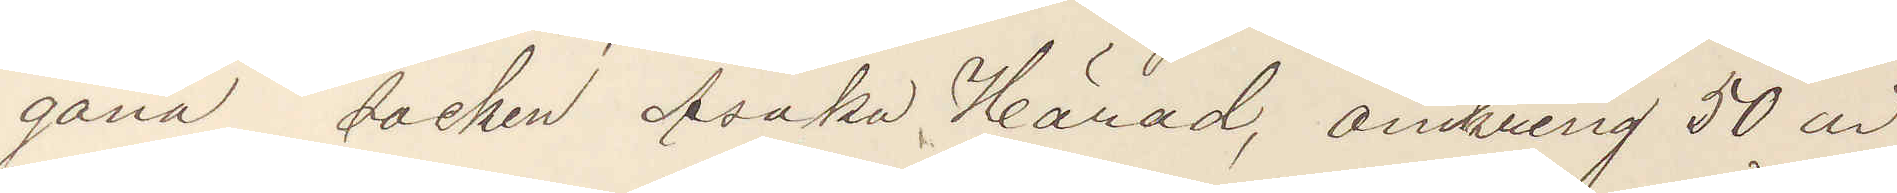gona socken Åsaka Härad, omkring 50 år
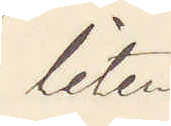liten
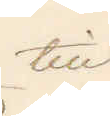till
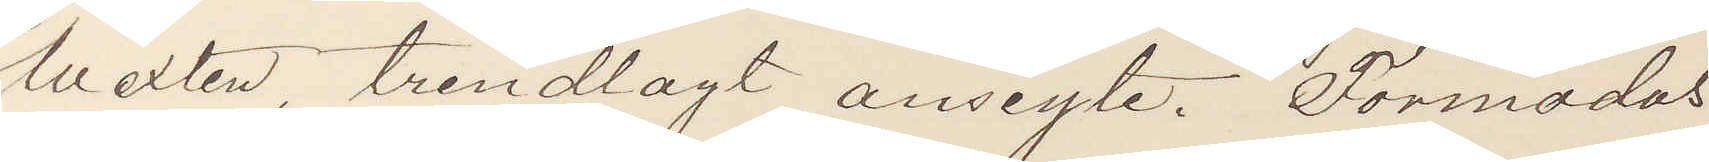wexten, trindlagt ansigte. Förmodas
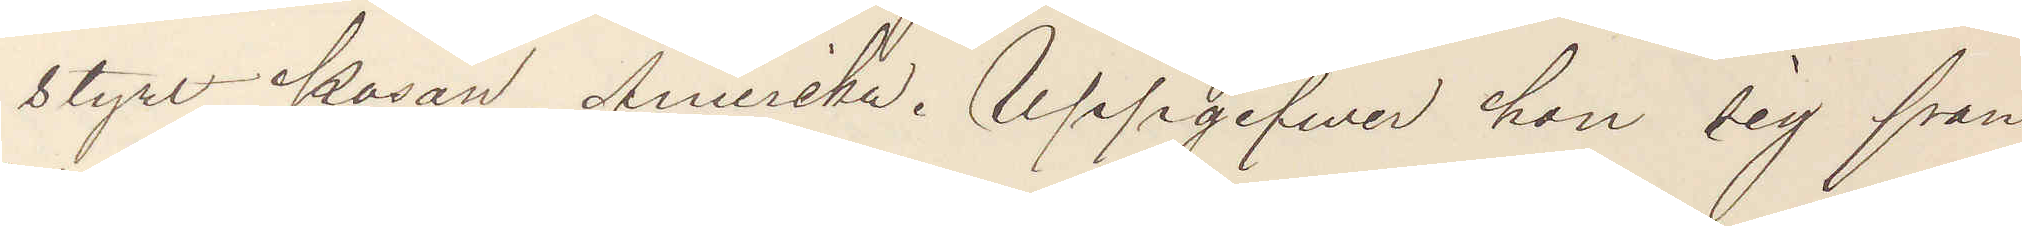styrt kosan Amerika. Uppgifver hon sig från
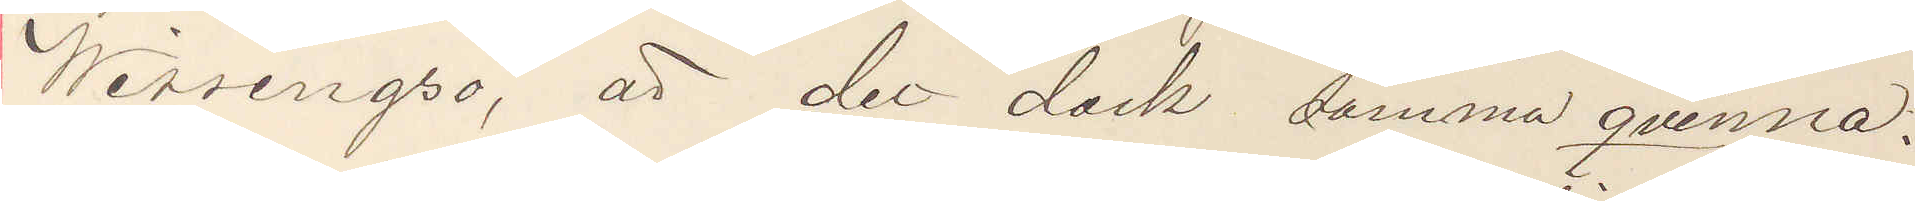Wissingsö, är det dock samma qvinna.
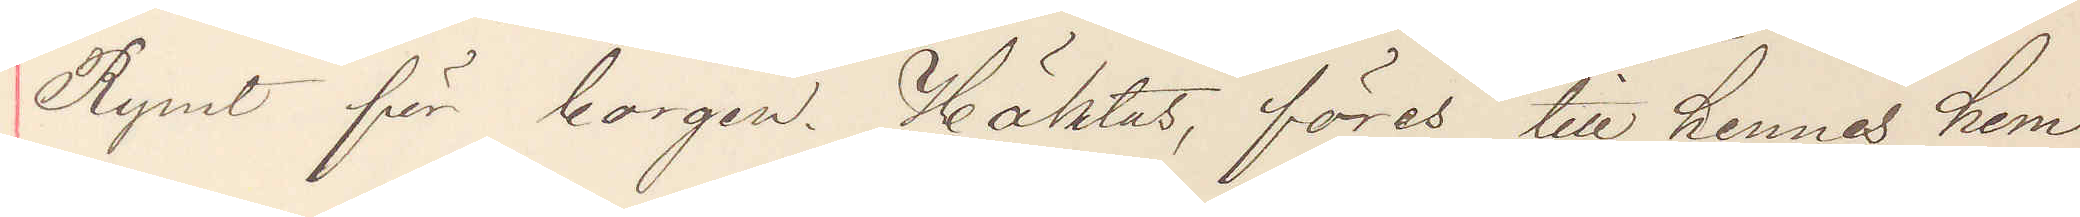Rymt för borgen. Häktas föres till hennes hem
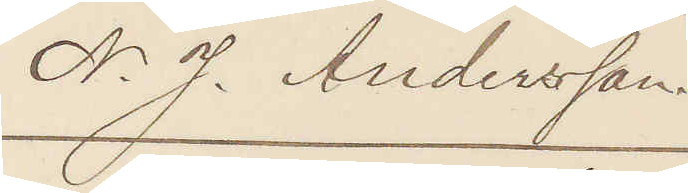N. J. Andersson.
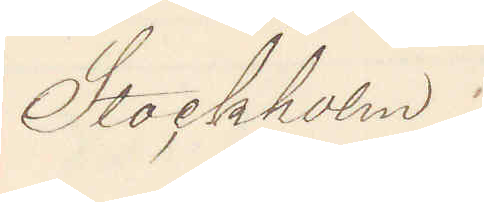Stockholm.
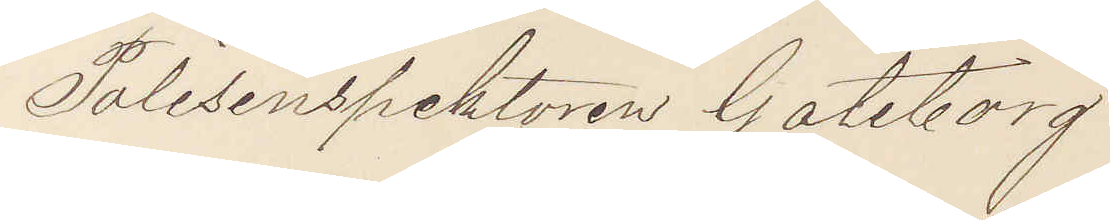Polisinspektorn Göteborg.
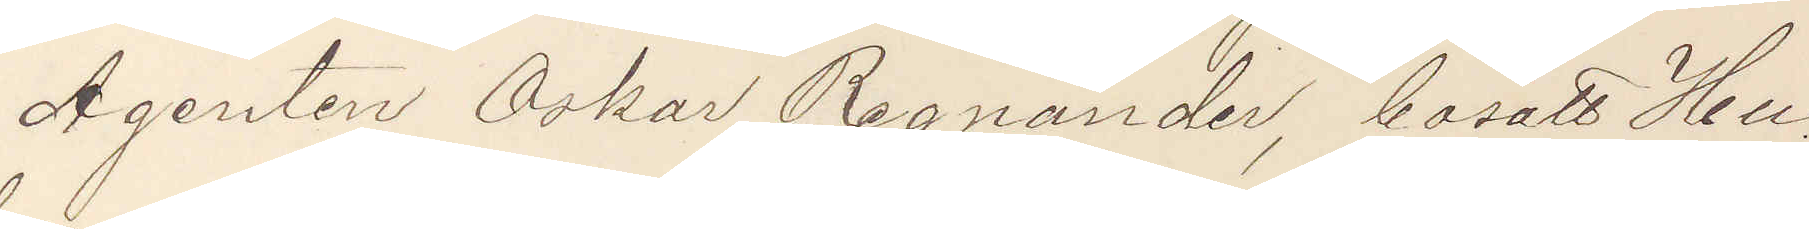Agenten Oskar Regnander, bosatt Hu¬
